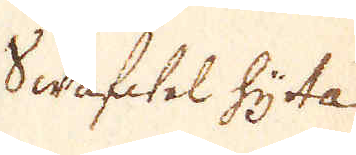Swafwel hytta
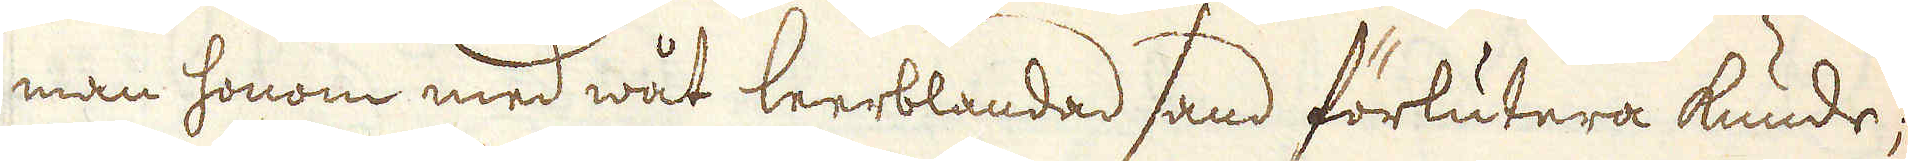man honom med wåt leerblandad sand förlutera kunde;
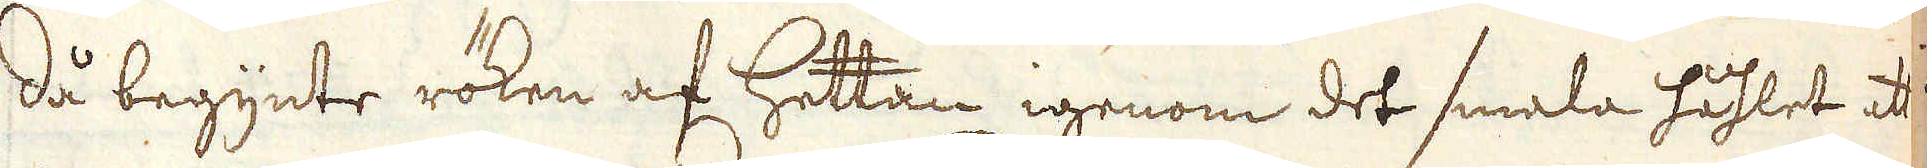då begynte röken af hettan igenom det smala håhlet att
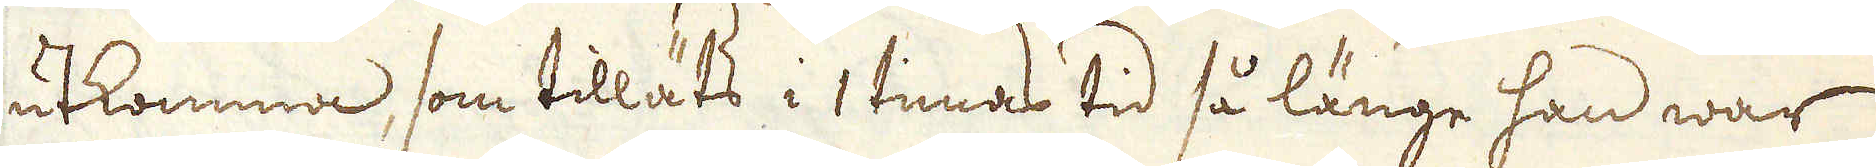utkomma, som tilläts i 1 timas tid så länge han war
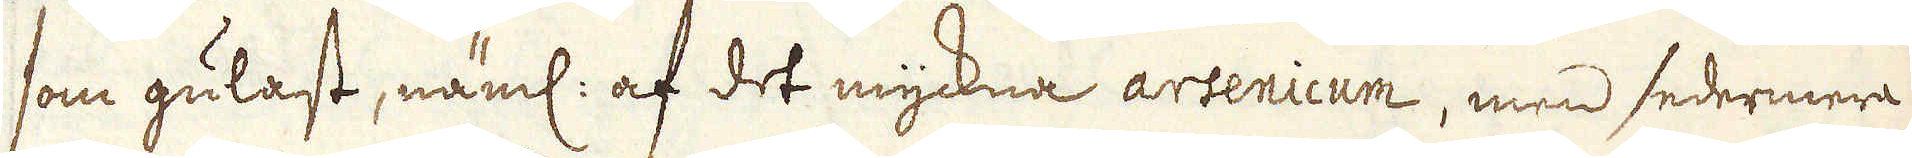som gulast, näml: af det myckna arsenicum, men sedermera
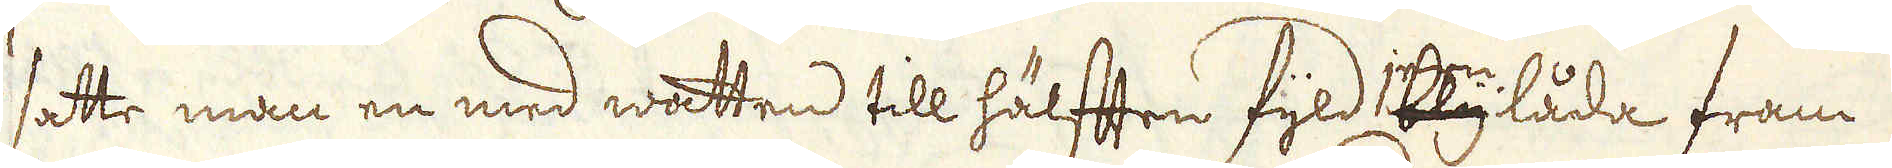satte man en med watten till hälften fyld jernblylåda fram
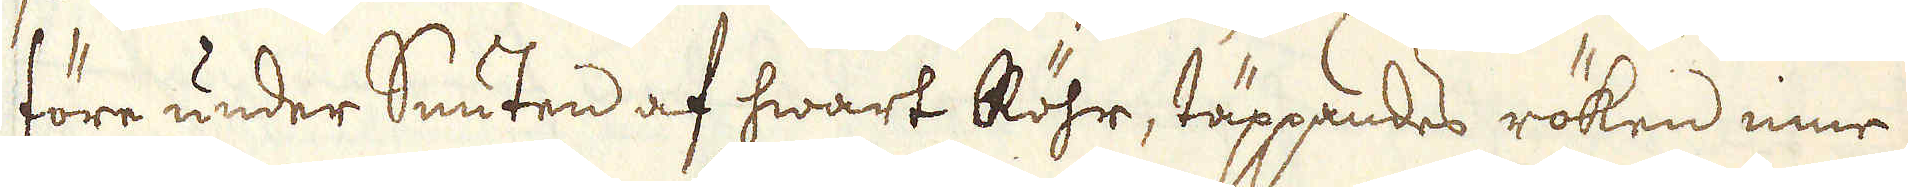före under Snuten af hwart Röhr, täppandes röken inne
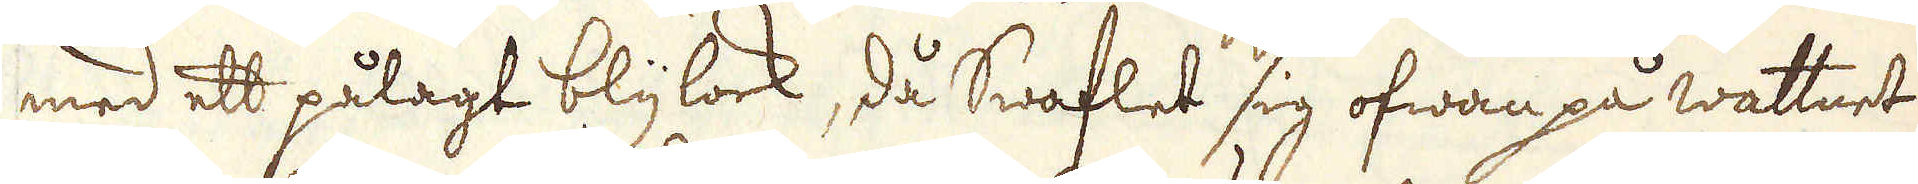med ett pålagt blylock, då Swaflet sig ofwan på wattnet
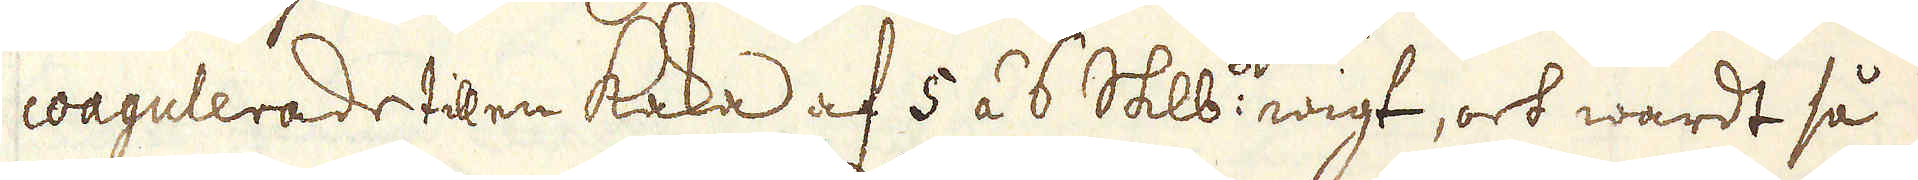coagulerade til en kaka af 5 á 6 skeppunds wigt, och wardt så
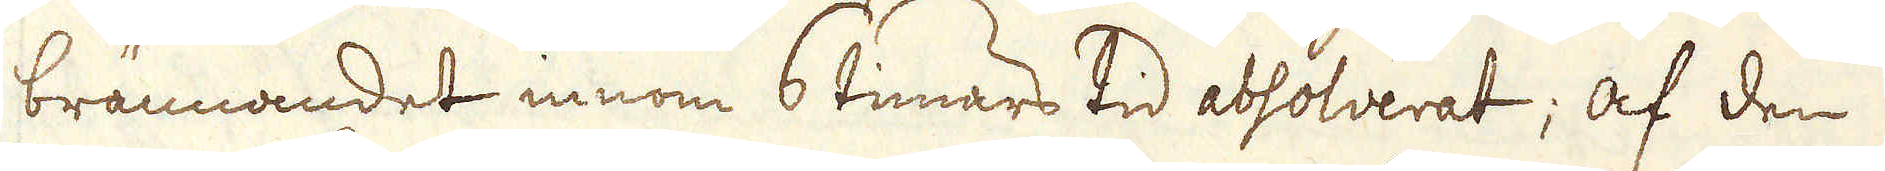brännandet innom 6 timars tid absolverat; Af den
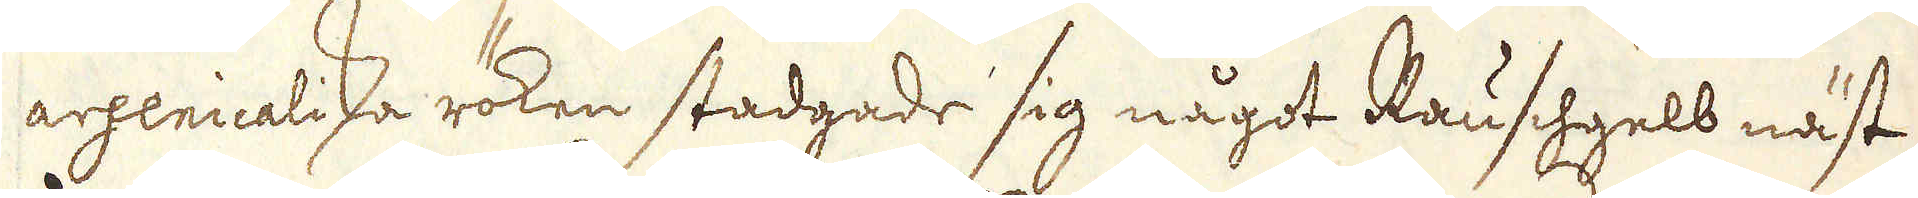argenicaliska röken stadgade sig något Rauschgelb näst
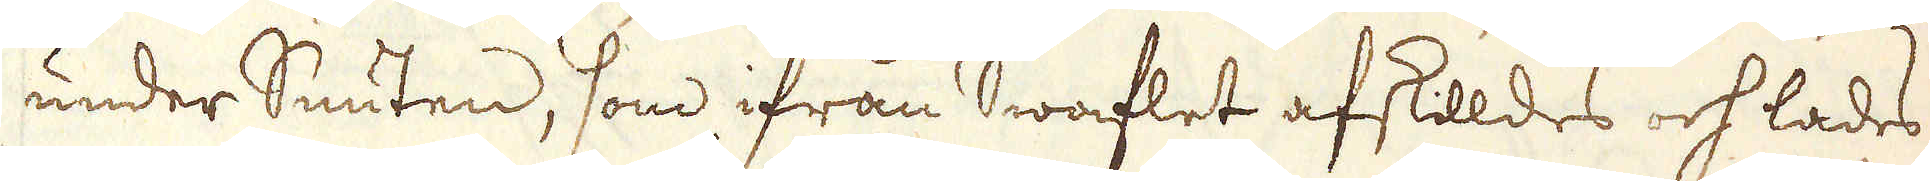under Snuten, som ifrån Swaflet afskilldes och lades
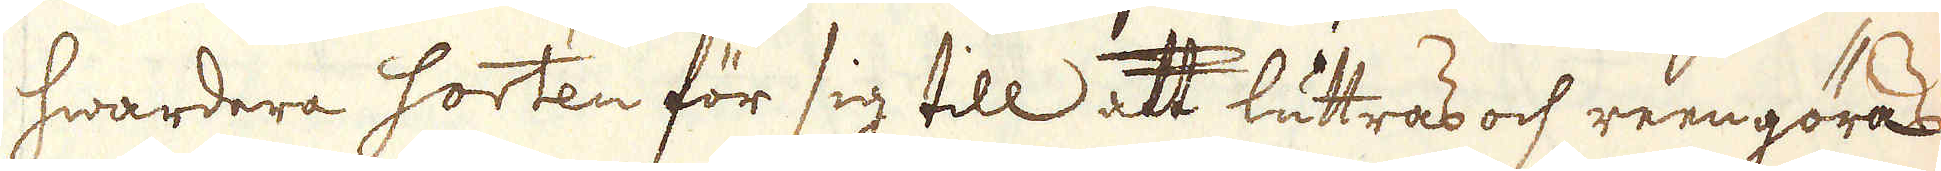hwardera sorten för sig till att luttras och reengöras
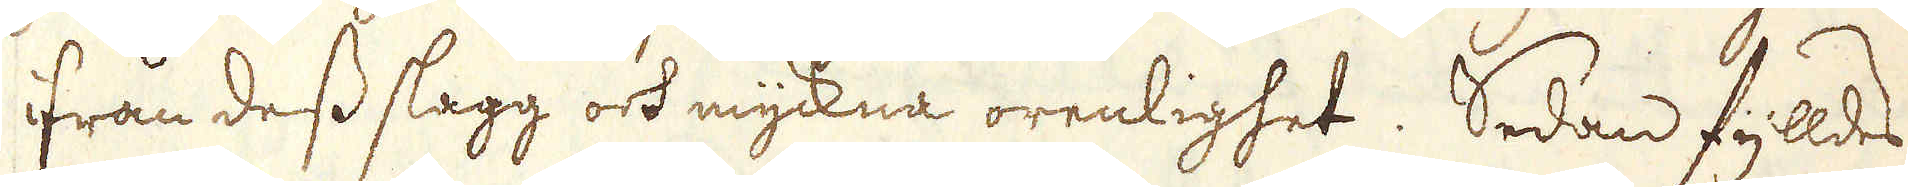ifrån dess slagg och myckna orenlighet. Sedan fylldes
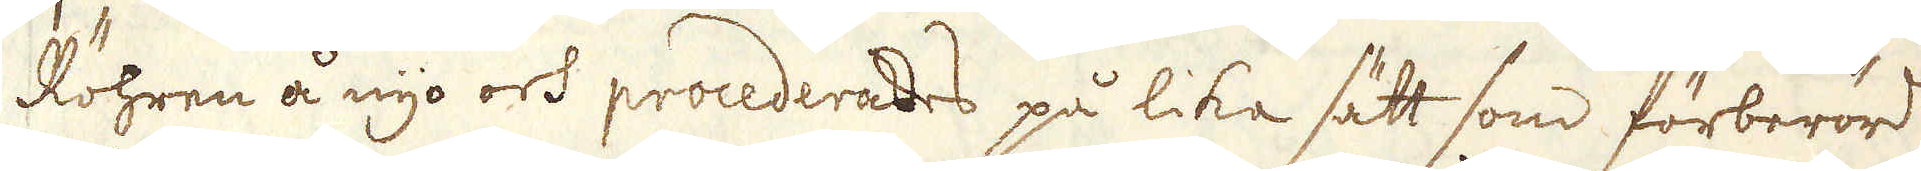Röhren å nyo och procederades på lika sätt som förberördt
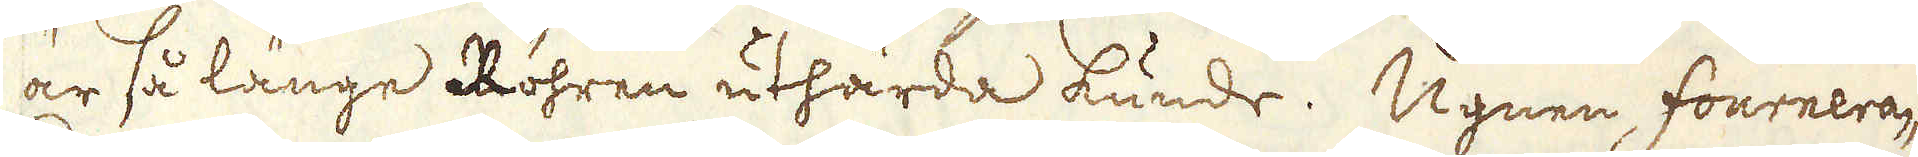är så länge Röhren uthärda kunde. Ugnen fournera-
